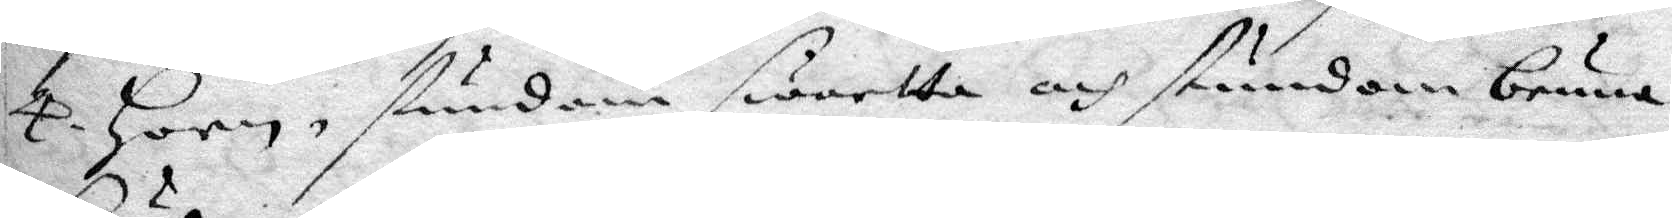4. Horn, stundom swartta och stundom bruna
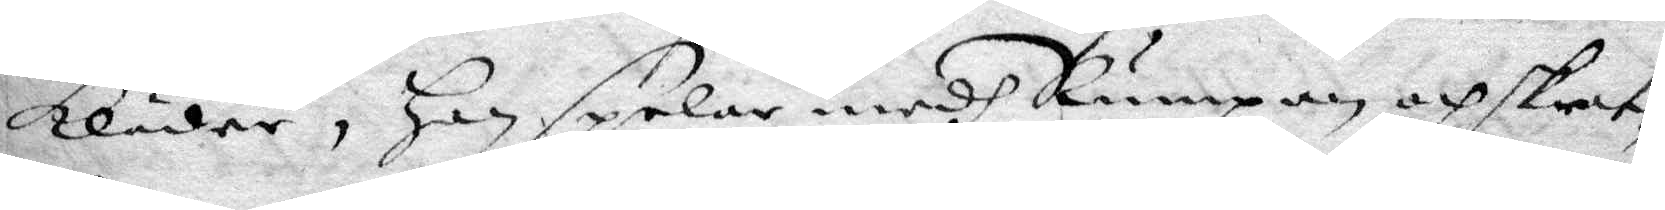Kläder, Han spelar medh Rumpan och skrat¬
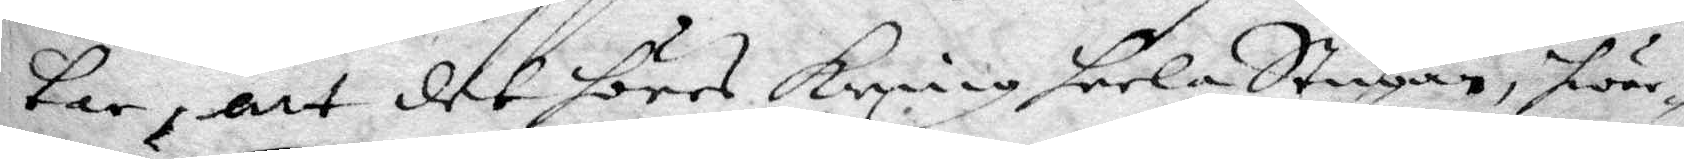tar, att det höres kring heela Stugan, hwar
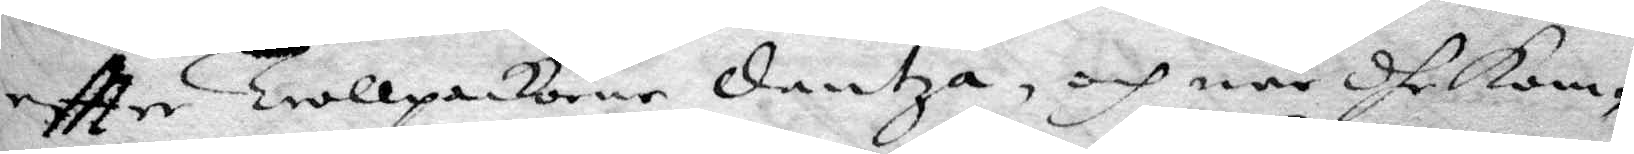eftter trollpackorne dantza, och när dhe Kom¬
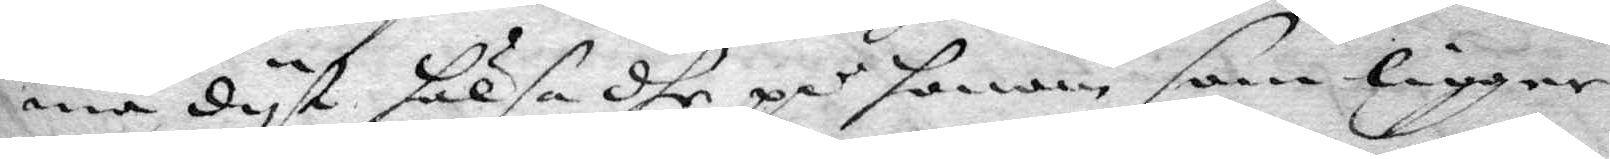ma dyt hälsa dhe på honom som ligger
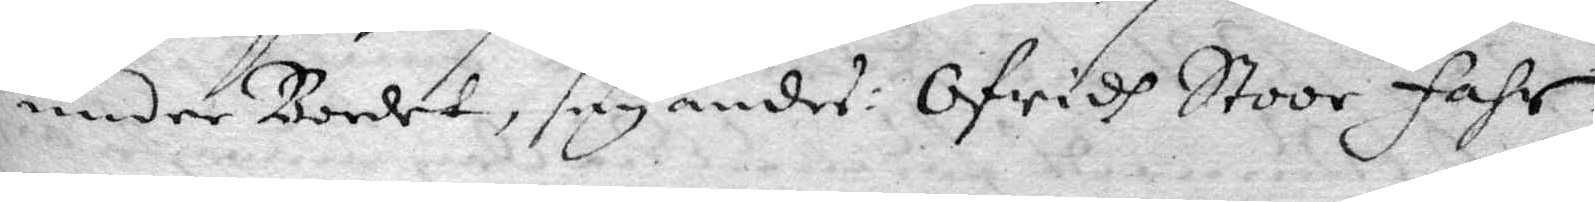under Bordet, seyandes: Ofridh Stoor Fahr,
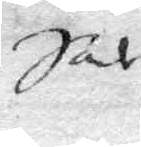Sal
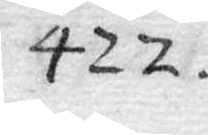422
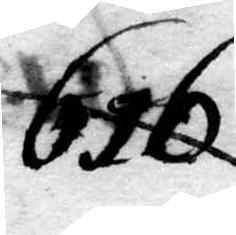616
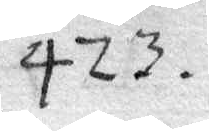423
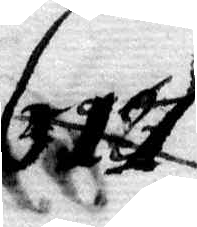617
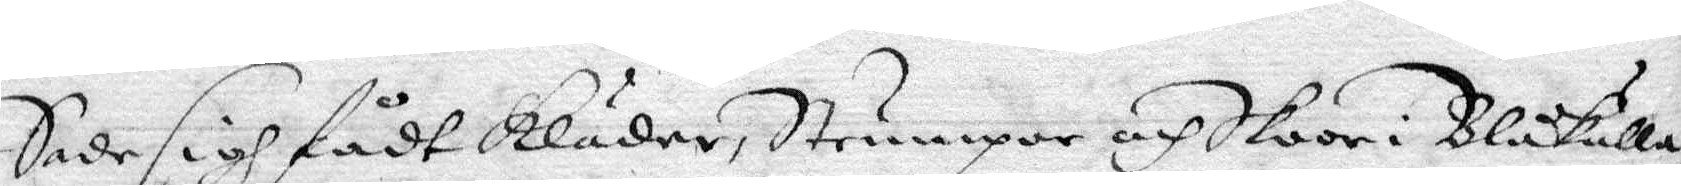Sade sigh fådt Kläder, Strumpor och Skoor i Blåkulla,
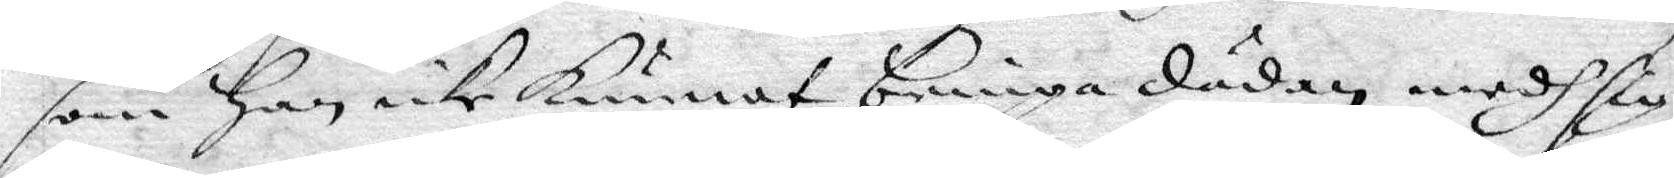som han icke Kunnat bringa dädan mendh sig,
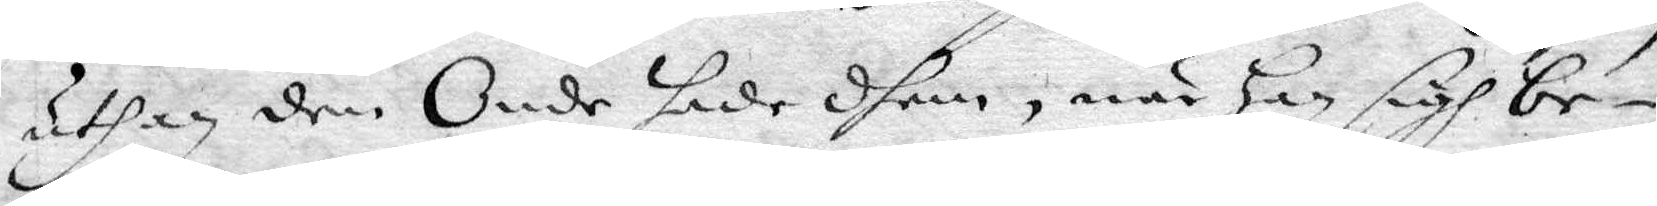uthan den Onde hade dhem, när han sigh be¬
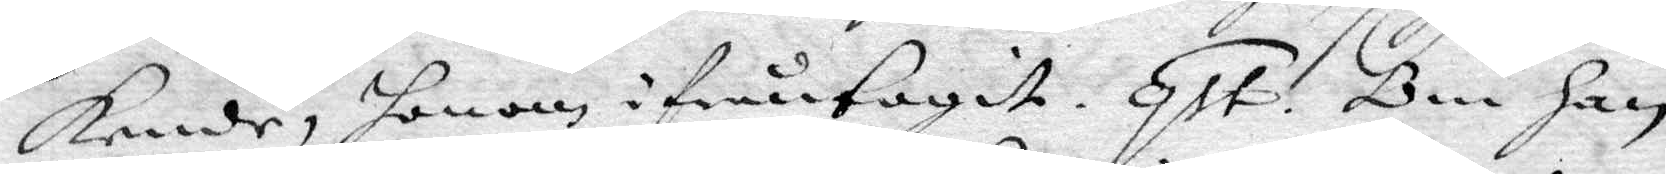kende, honom ifråntagit. qst. Om han
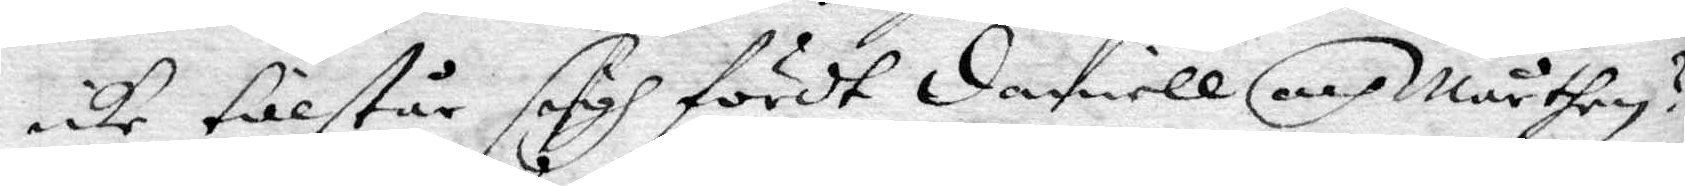icke tillstår sigh fördt Daniell och Mårthen?
